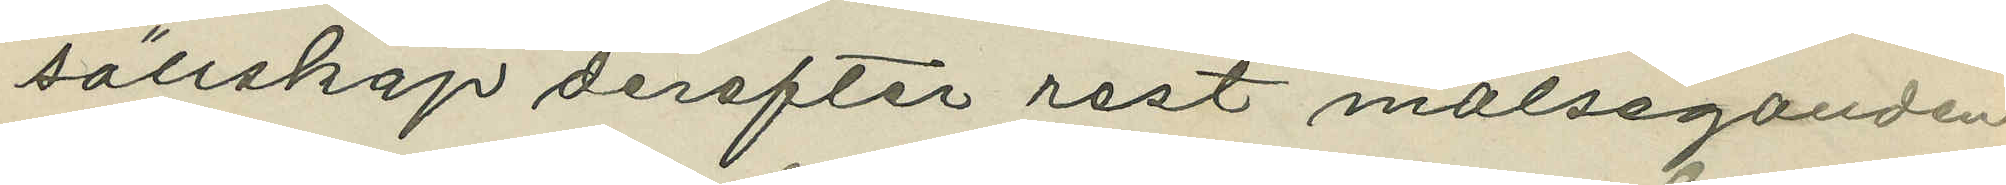sällskap derefter rest målseganden
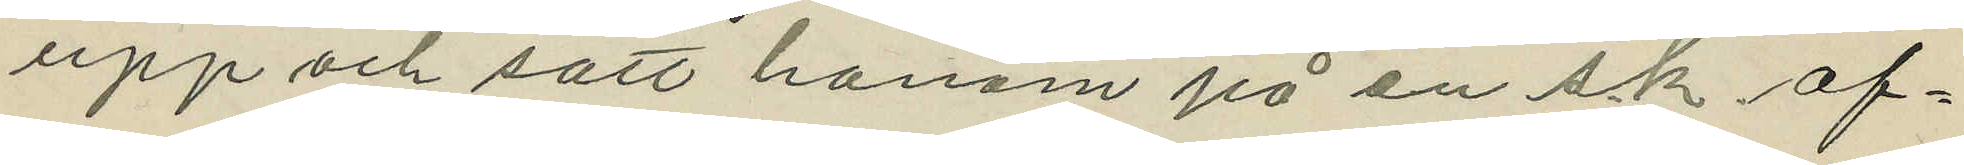upp och satt honom på en s.k. af¬
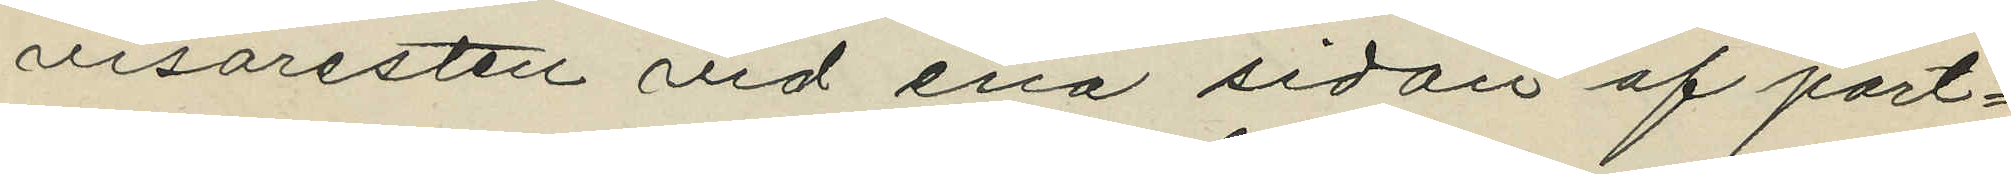visaresten vid ena sidan af port¬
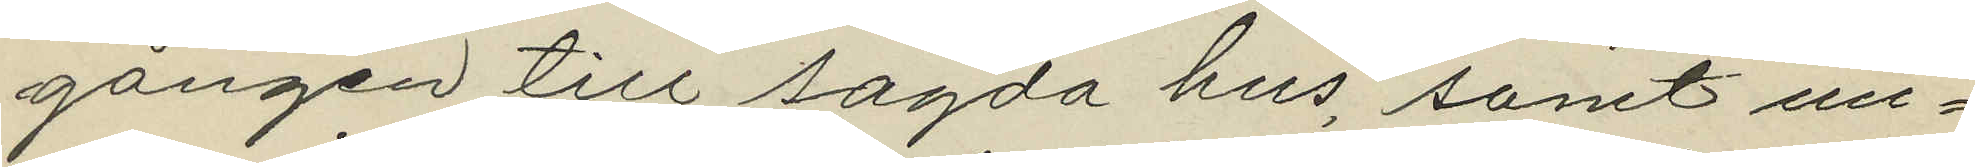gången till sagda hus, samt un¬
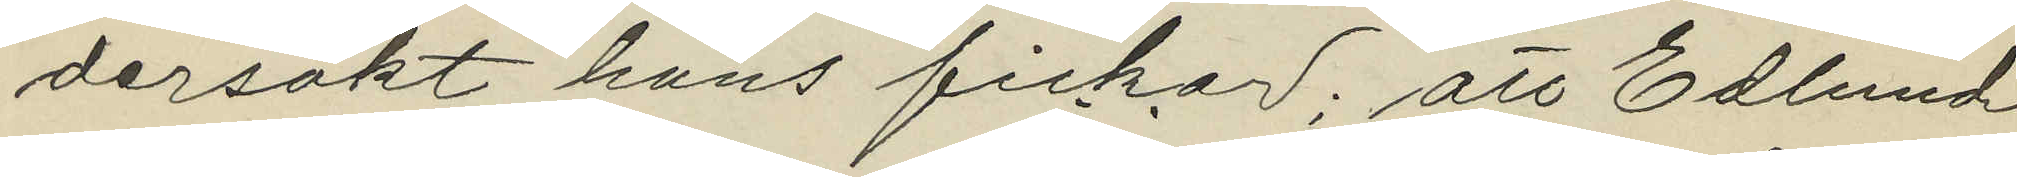dersökt hans fickor; att Edlund
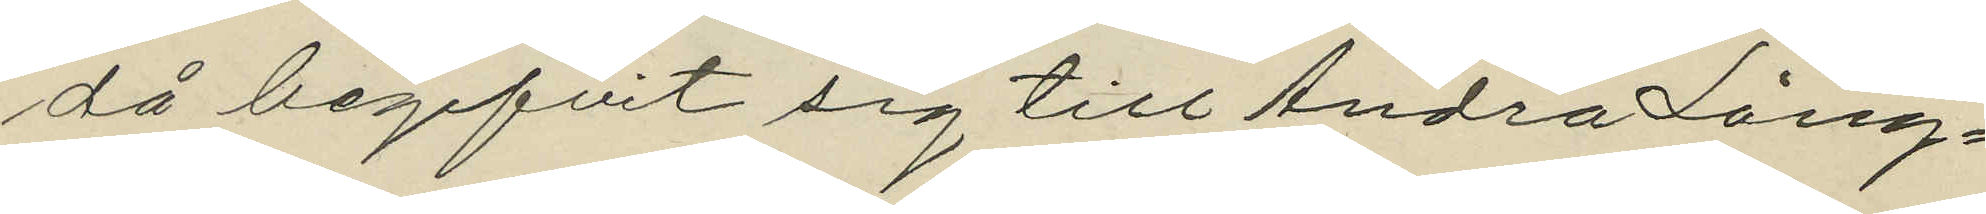då begifvit sig till Andra Lång¬
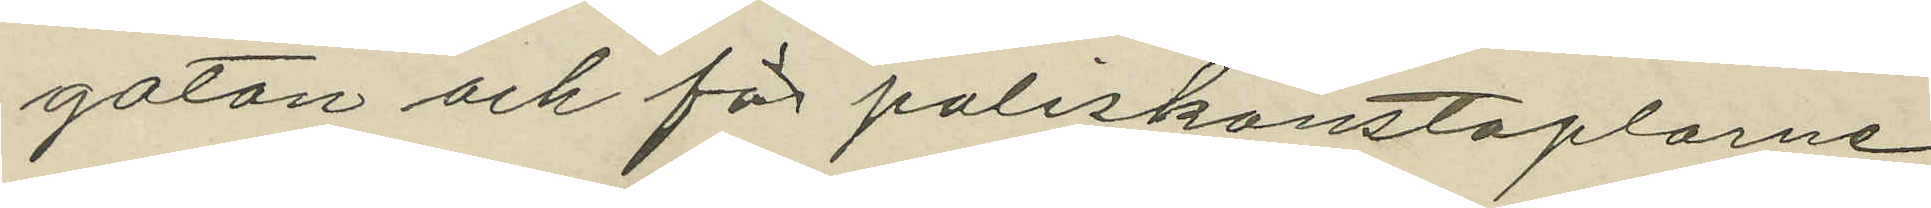gatan och för poliskonstaplarne
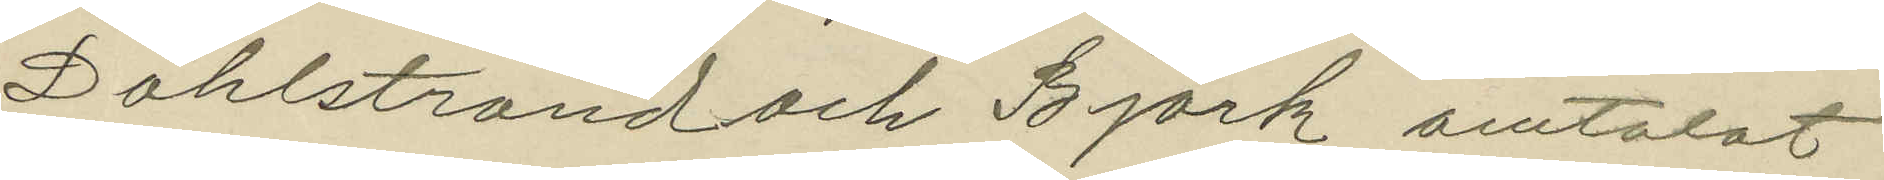Dahlstrand och Björk omtalat
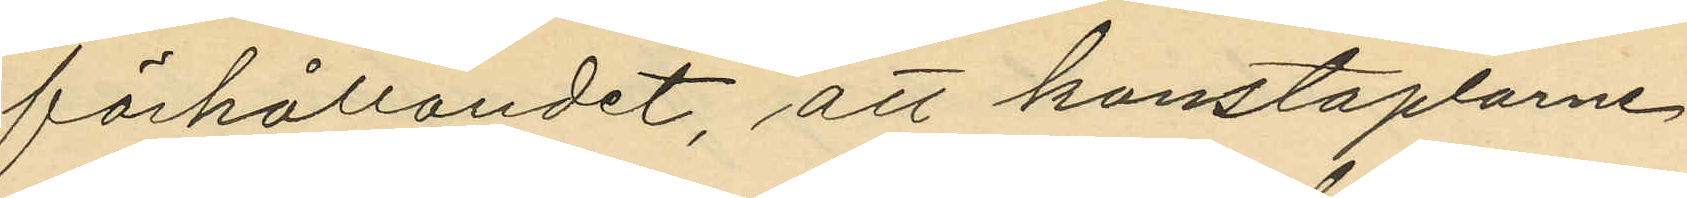förhållandet, att konstaplarne
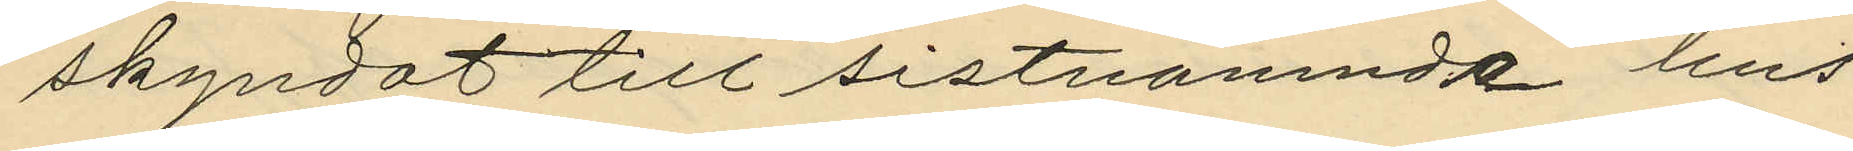skyndat till sistnämnde hus
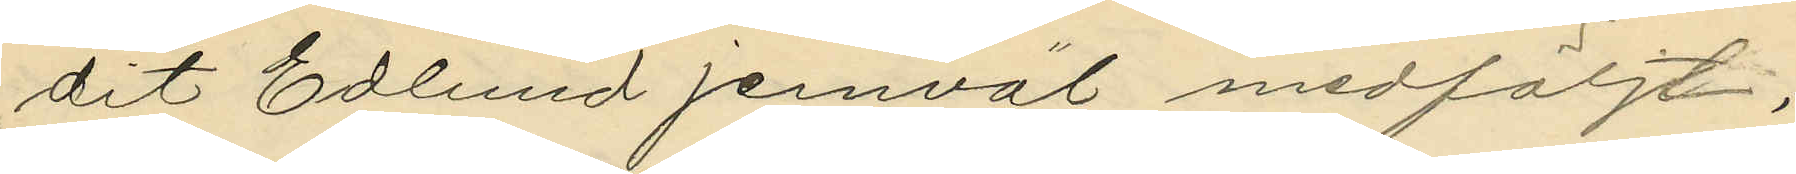dit Edlund jemväl medföljt;
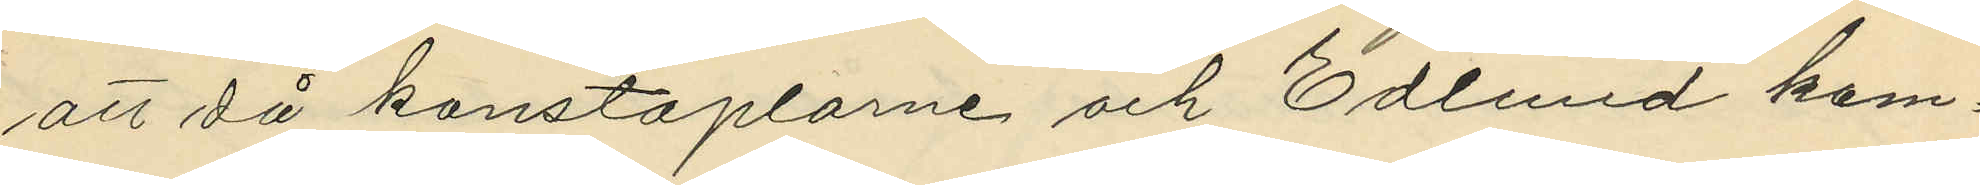att då konstaplarne och Edlund kom¬
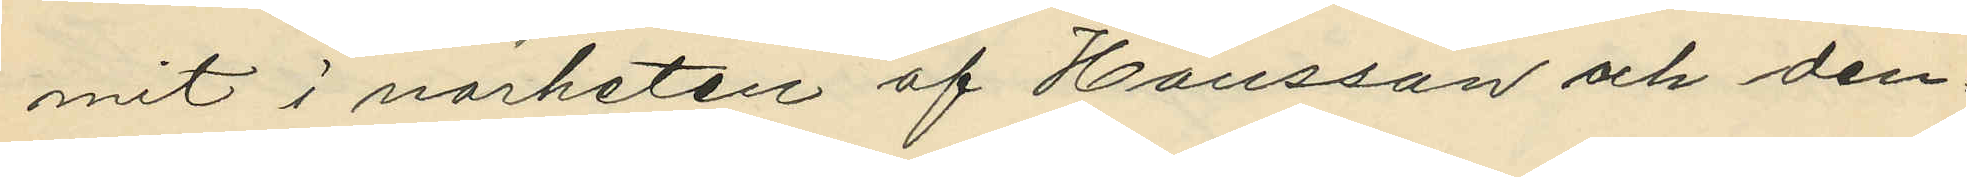mit i närheten af Hansson och den¬
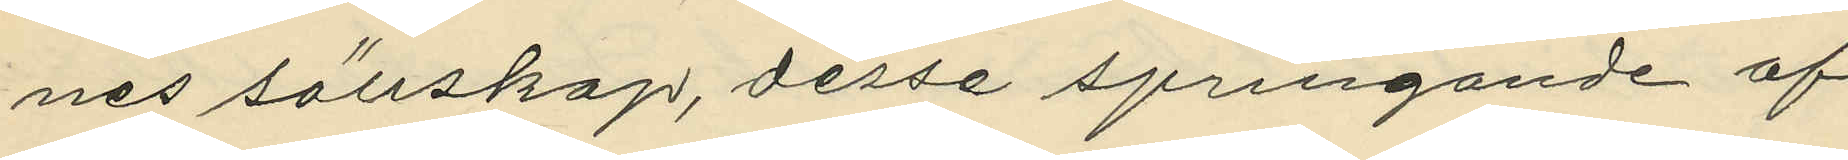nes sällskap, desse springande af¬
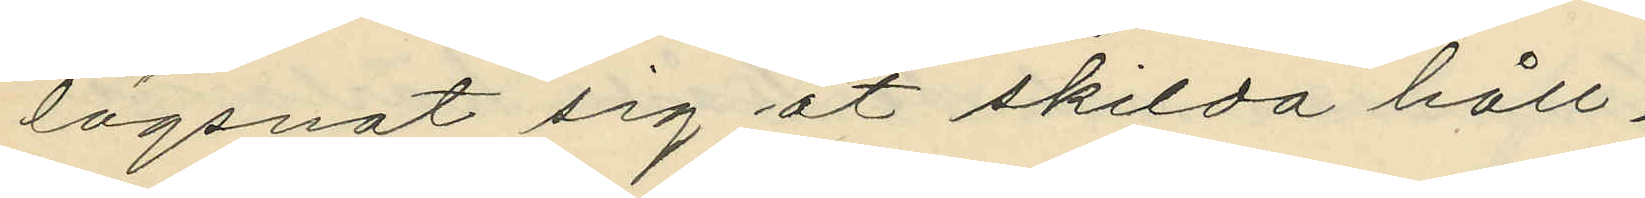lägsnat sig åt skilda håll;
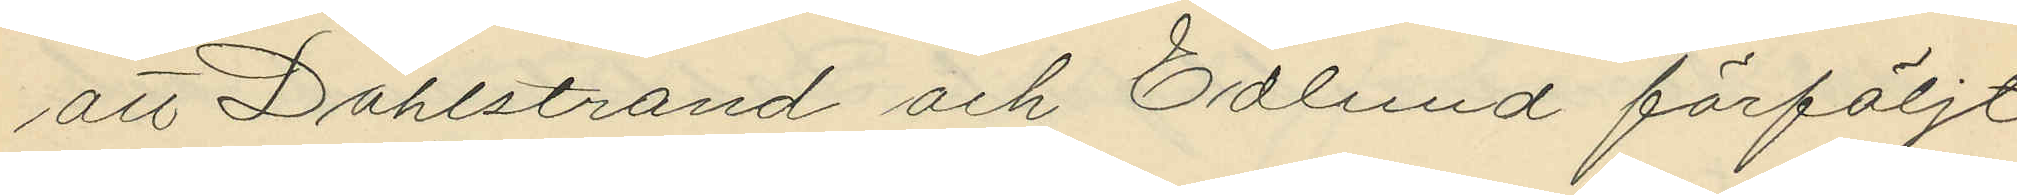att Dahlstrand och Edlund förföljt
